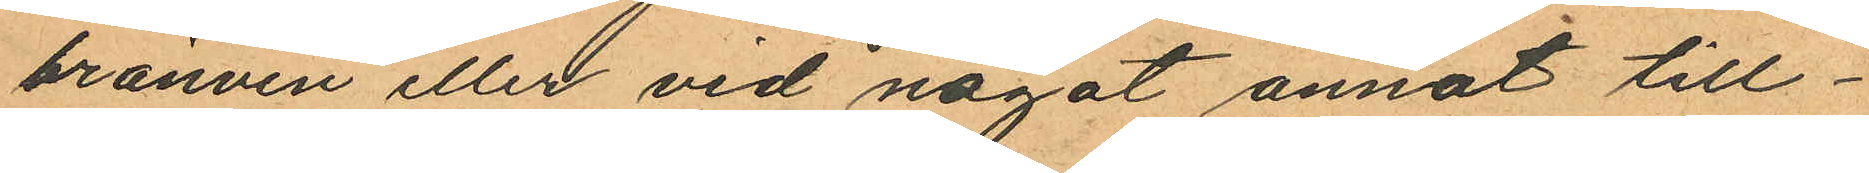bränvin eller vid något annat till¬
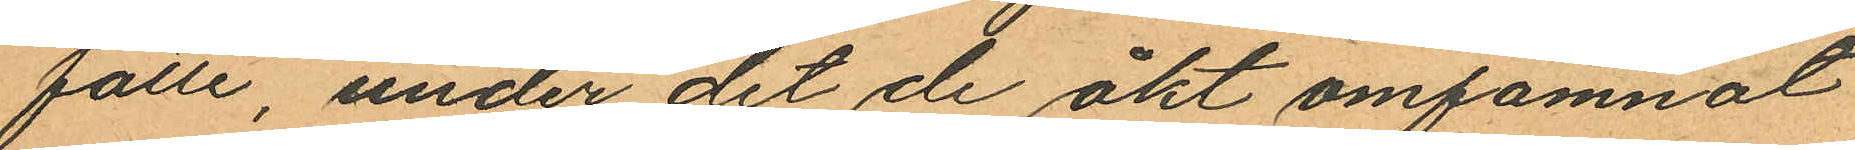fälle, under det de åkt omfamnat
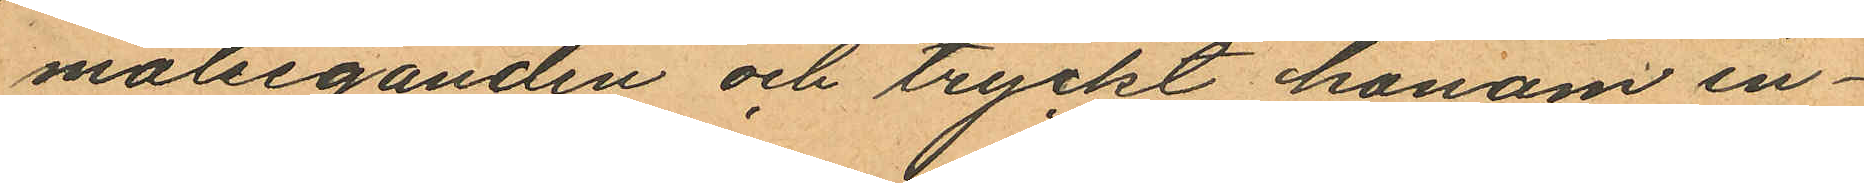målseganden och tryckt honom in¬
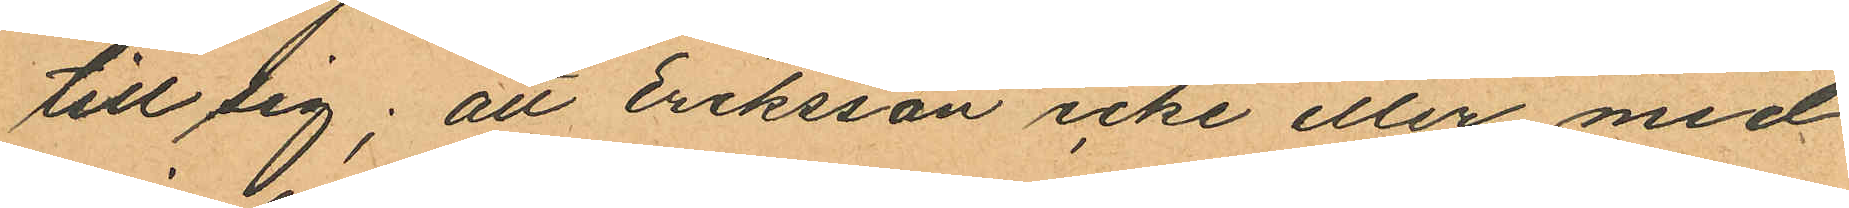till sig; att Eriksson icke eller med
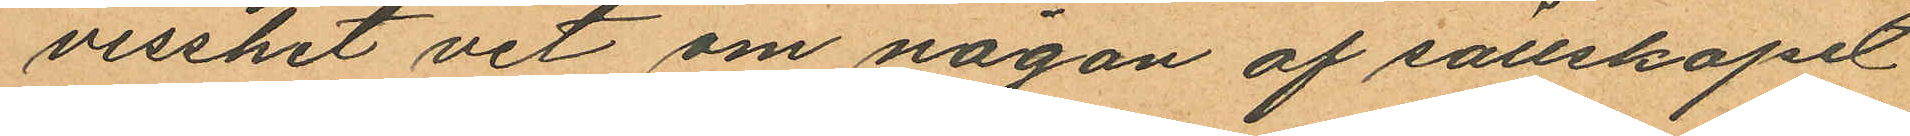visshet vet om någon af sällskapet
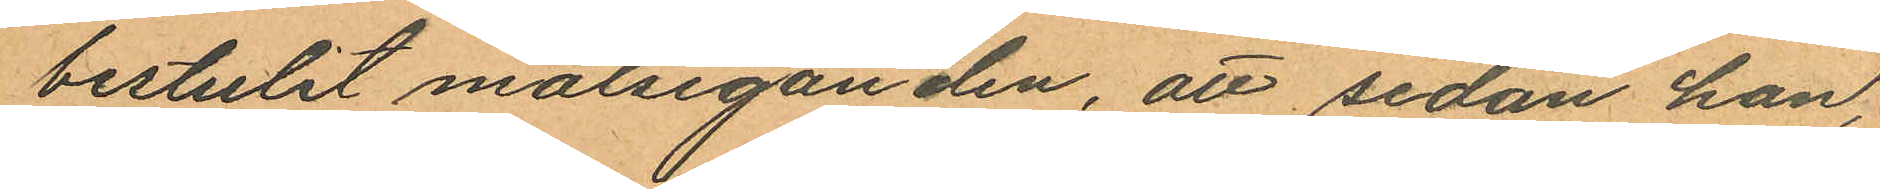bestulit målseganden, att sedan han,
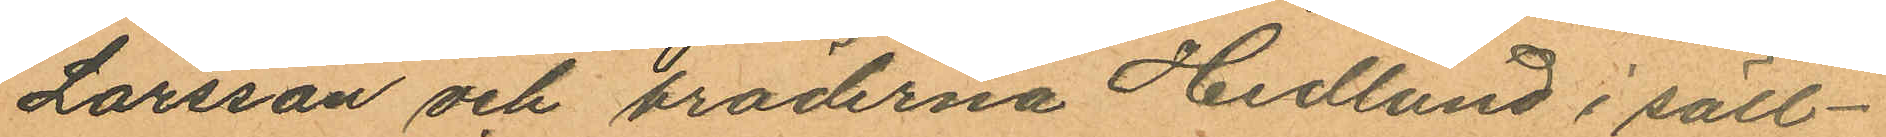Larsson och bröderna Hedlund i säll¬
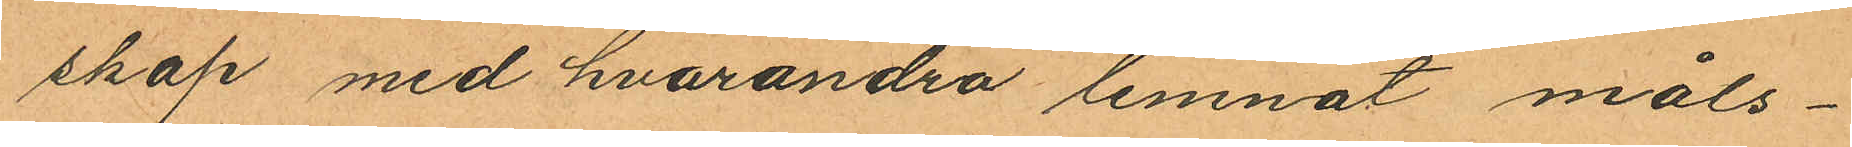skap med hvarandra lemnat måls¬
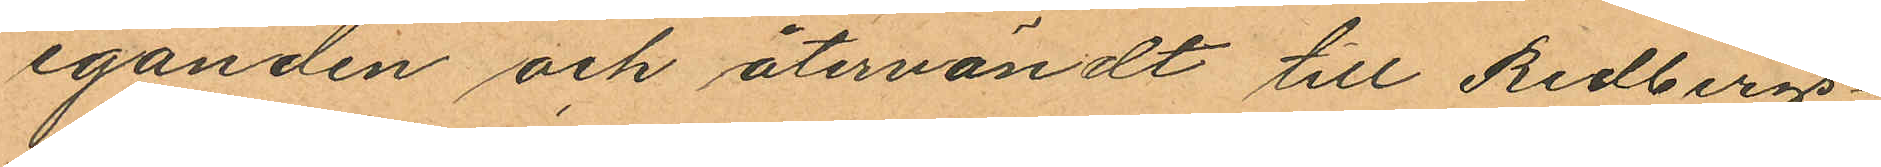eganden och återvändt till Redbergs¬
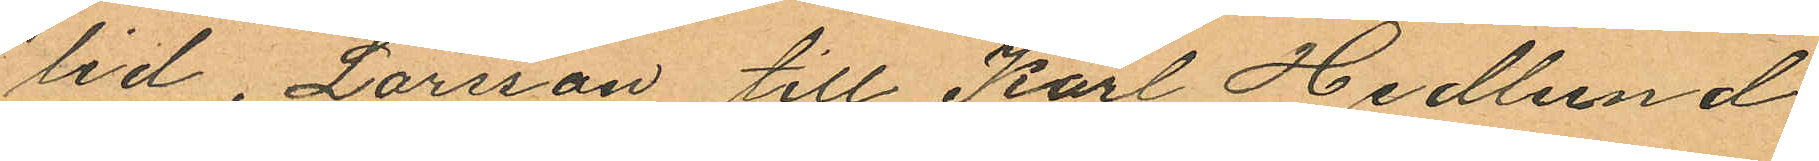lid, Larsson till Karl Hedlund
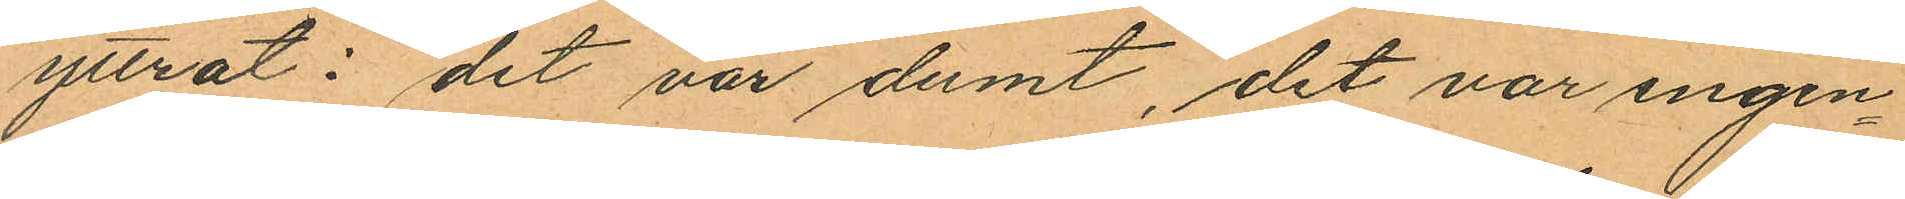yttrat: "det var dumt, det var ingen¬
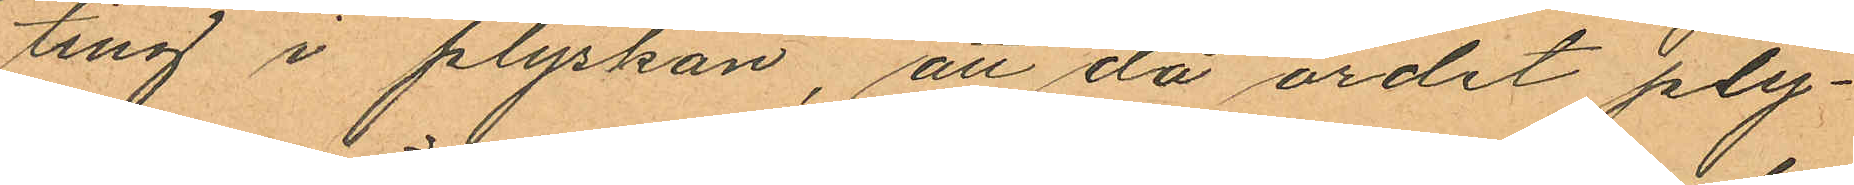ting i plyskan", att då ordet ply¬
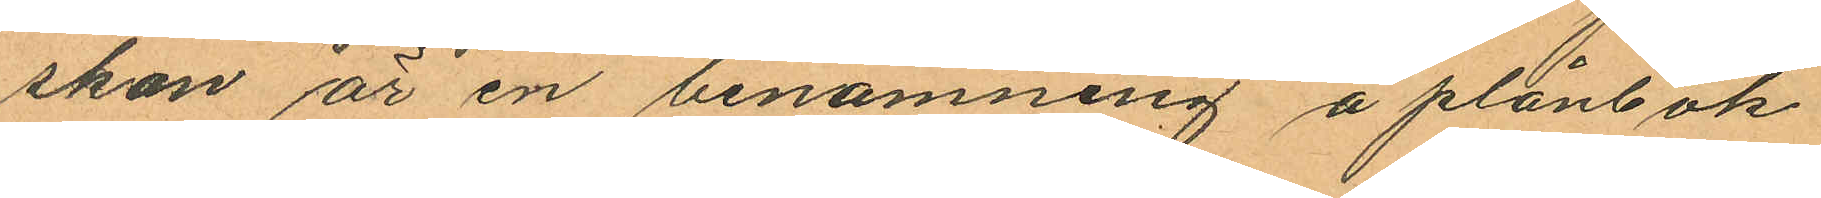skan är en benämning å plånbok
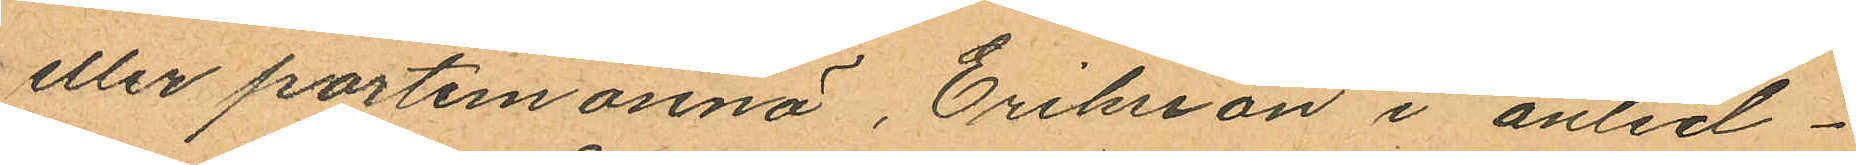eller portemonnä, Eriksson i anled¬
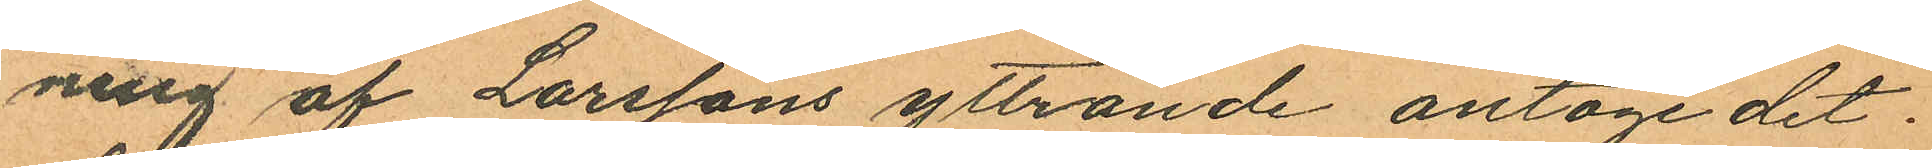ning af Larssons yttrande antoge det.
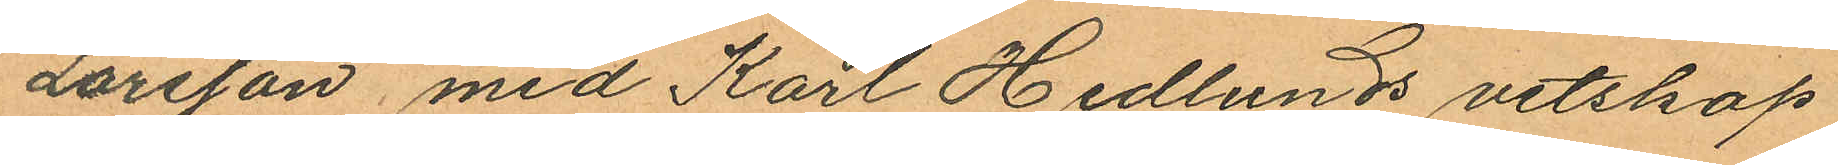Larsson med Karl Hedlunds vetskap
